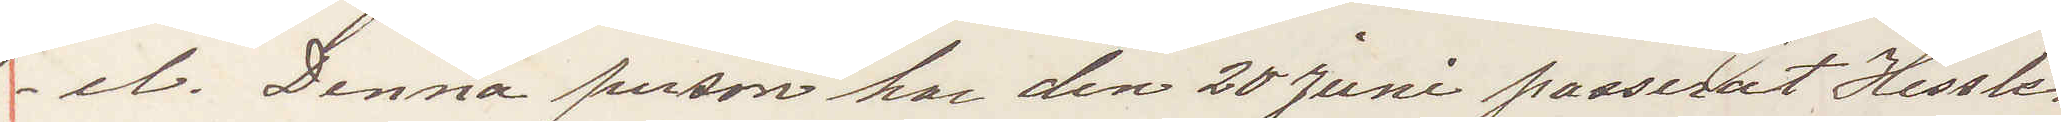el. Denna person har den 20 Juni passerat Hessle¬
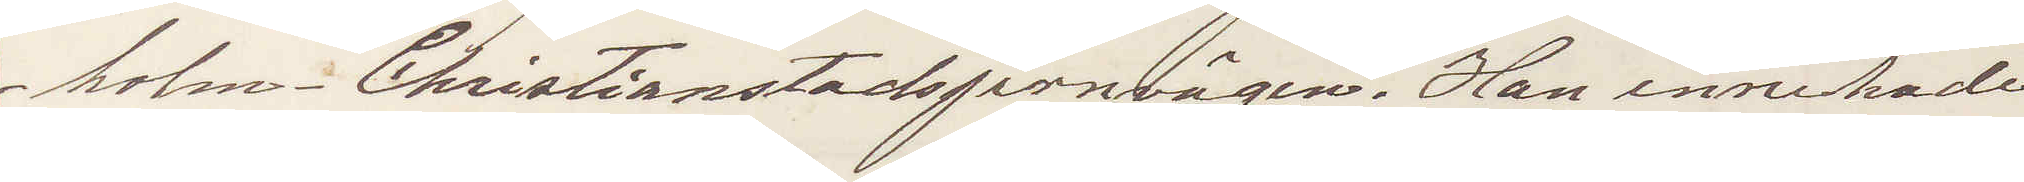holm - Christianstadsjernvägen. Han innehade
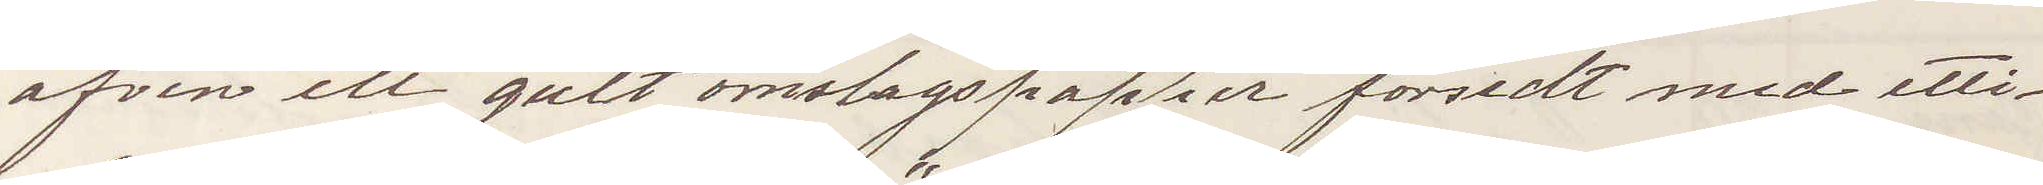äfven ett gult omslagspapper försedt med etti¬
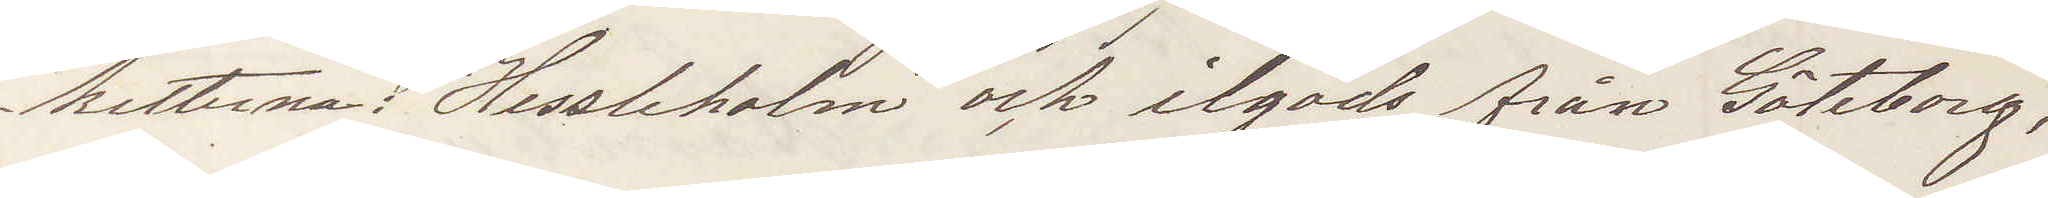ketterna: "Hessleholm" och ilgods från Göteborg,
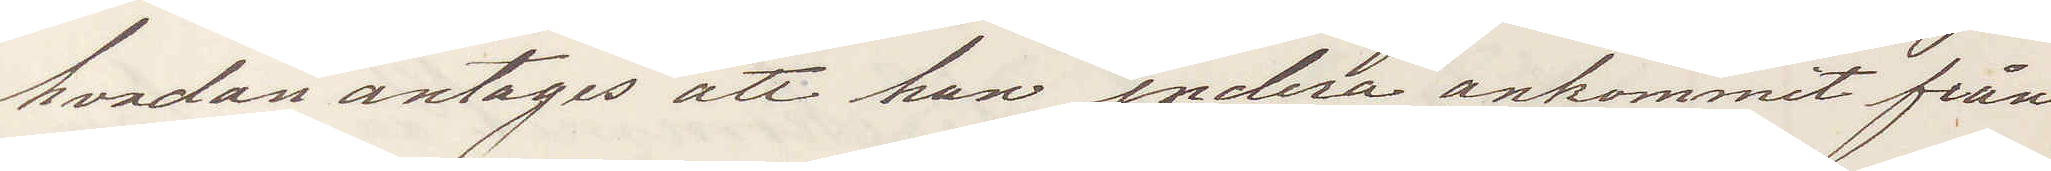hvadan antages att han endera ankommit från
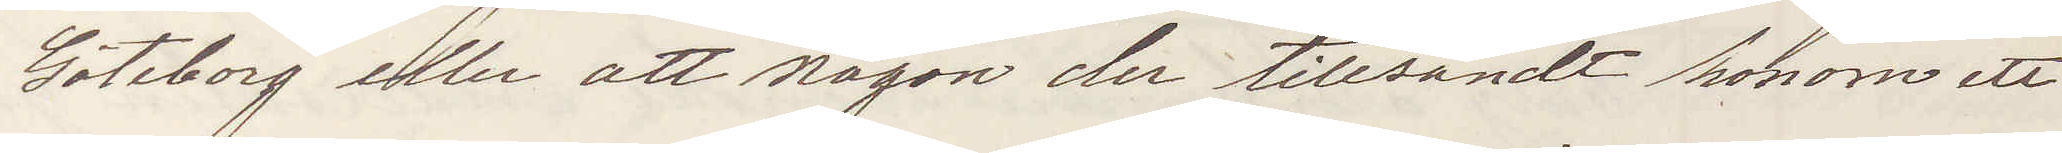Göteborg eller att någon der tillsändt honom ett
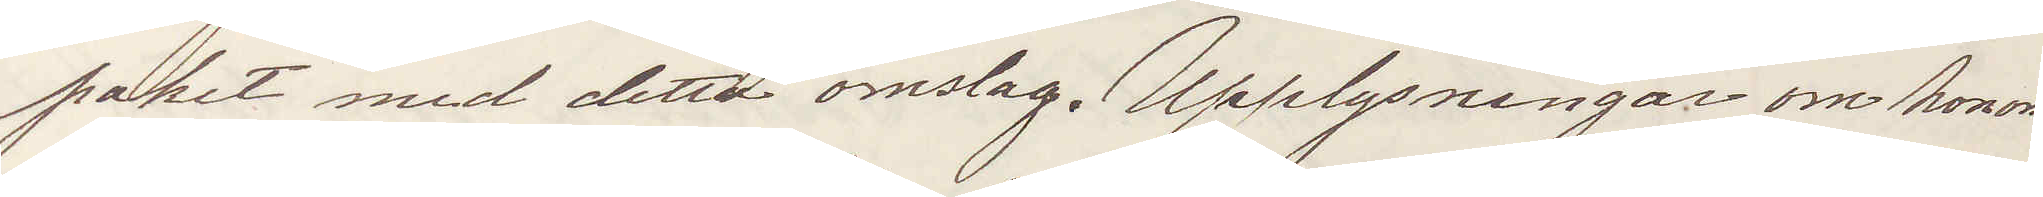paket med detta omslag. Upplysningar om honom
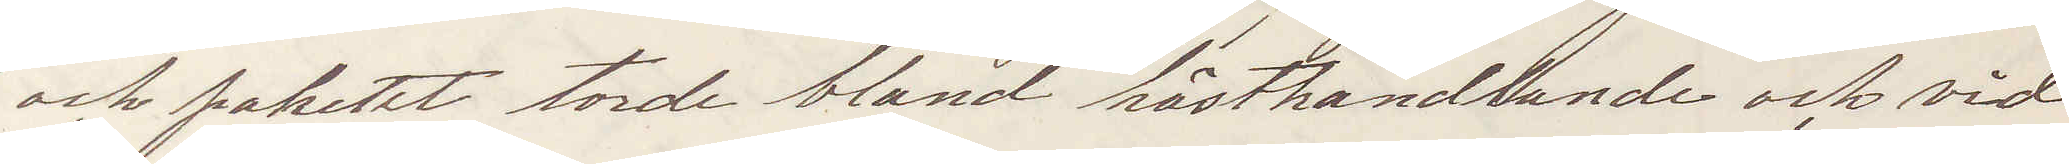och paketet torde bland hästhandlande och vid
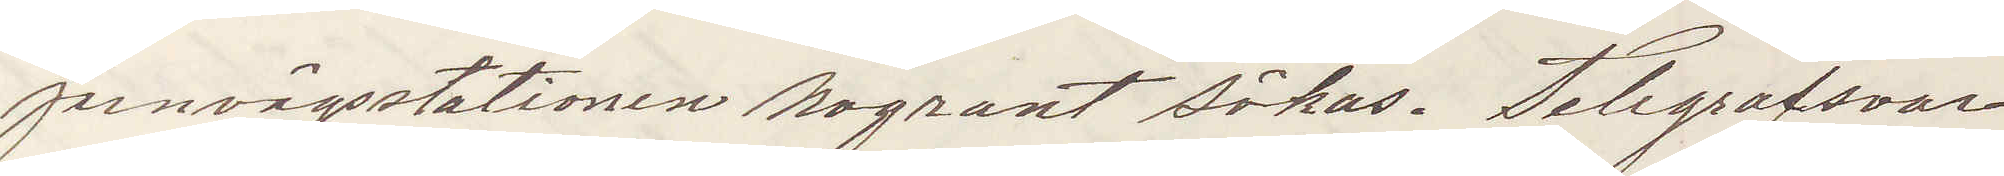jernvägsstationen nogrant sökas. Telegrafsvar
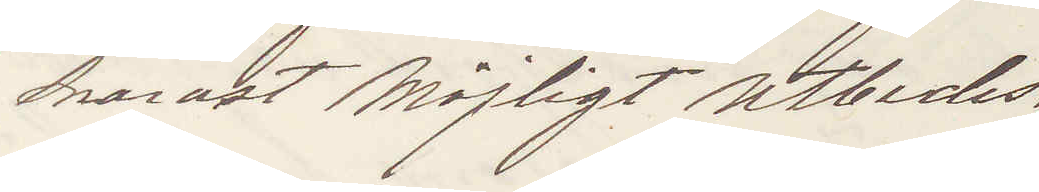snarast möjligt utbedes.
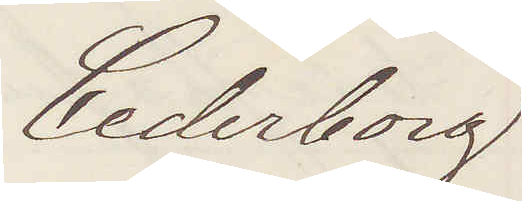Cederborg
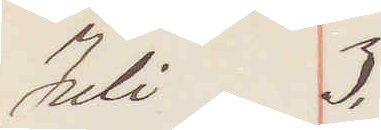Juli 3.
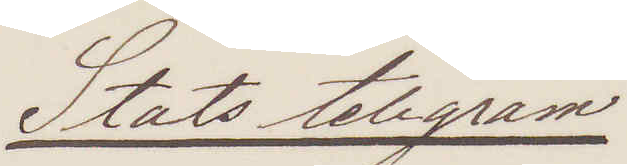Stats telegram
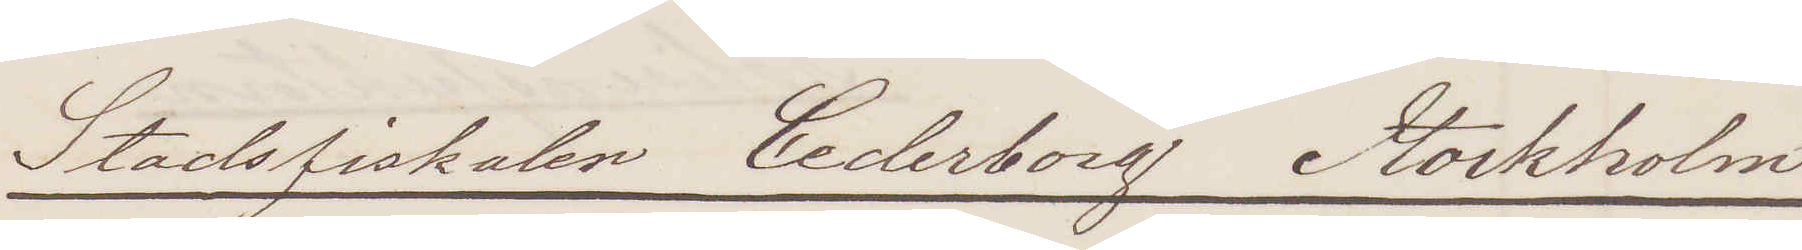Stadsfiskalen Cederborg  Stockholm
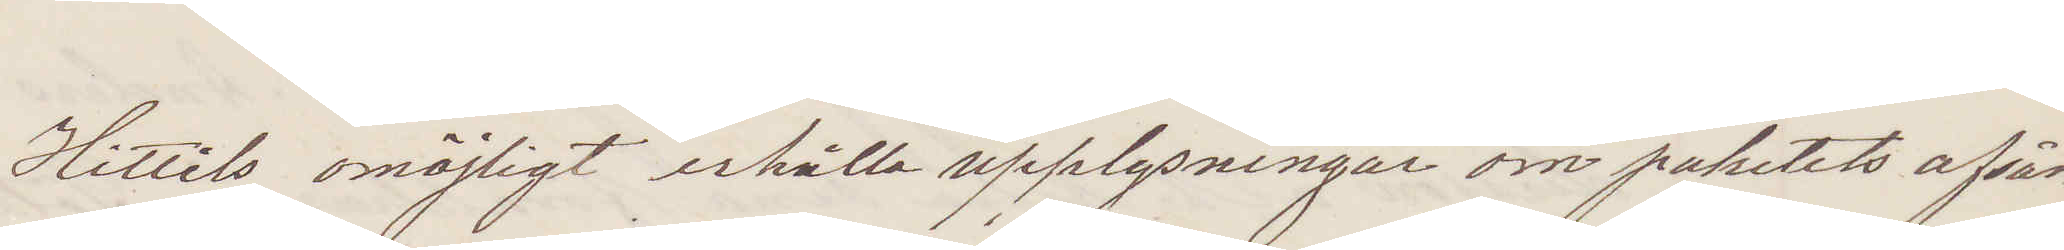Hittils omöjligt erhålla upplysningar om paketets afsän¬
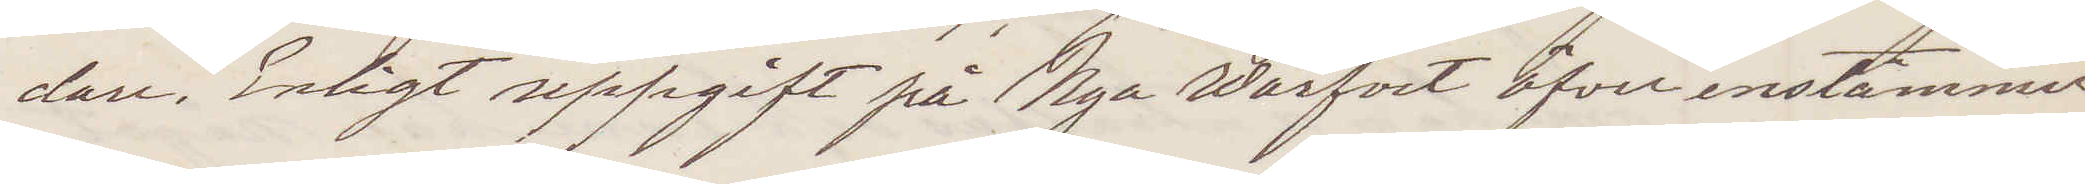dan. Enligt uppgift på Nya Varfvet öfverensstämmer
